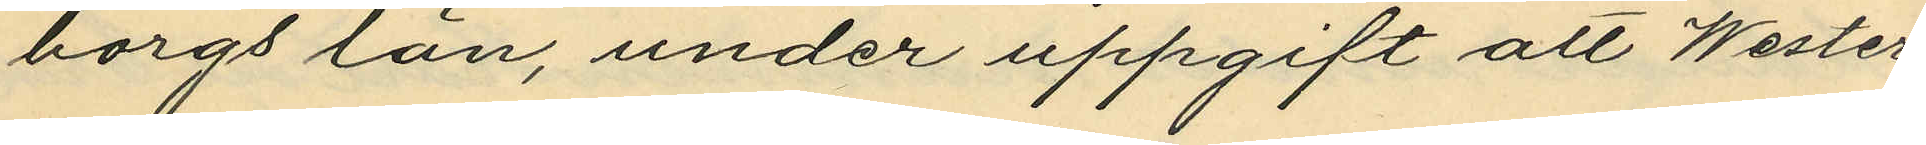borgs län, under uppgift att Wester¬
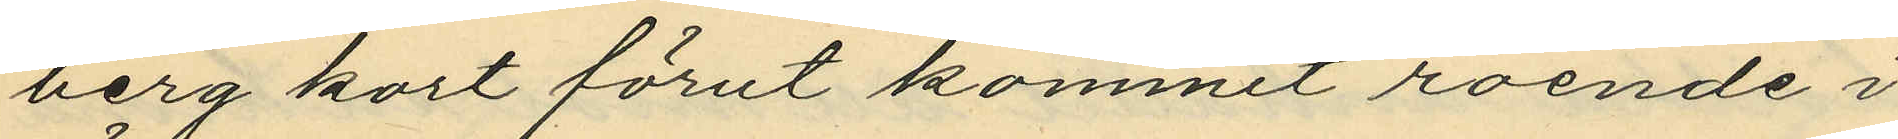berg kort förut kommit roende i
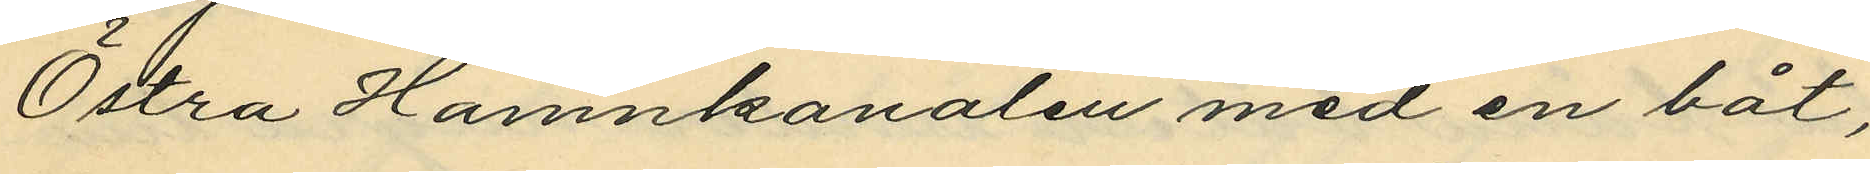Östra Hamnkanalen med en båt,
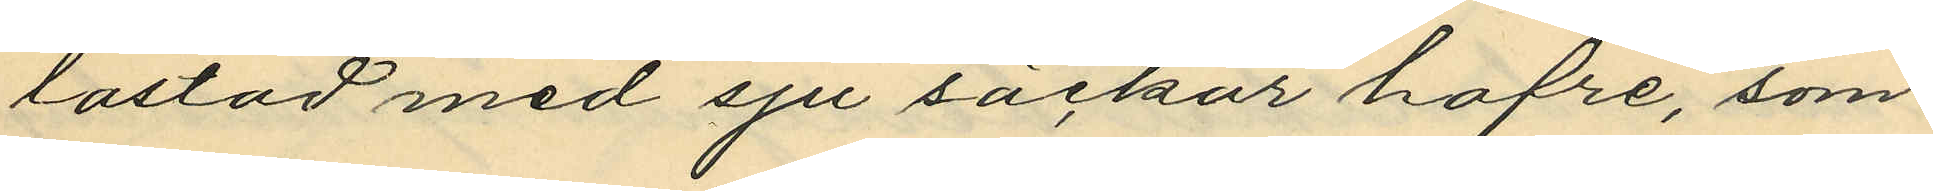lastad med sju säckar hafre, som
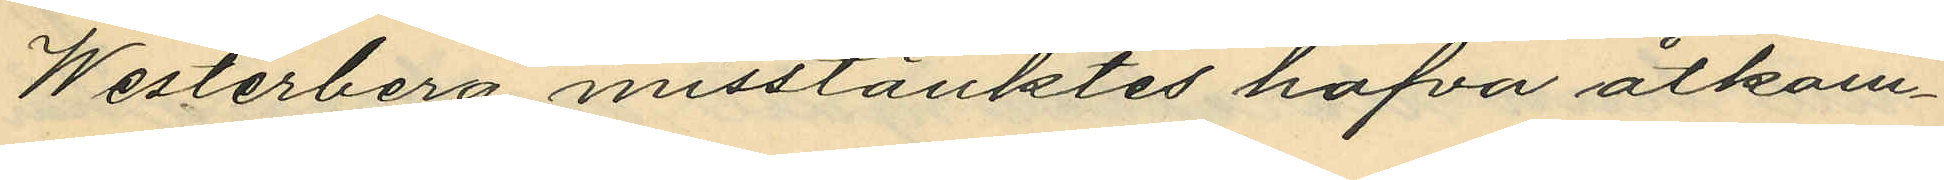Westerberg misstänktes hafva åtkom¬
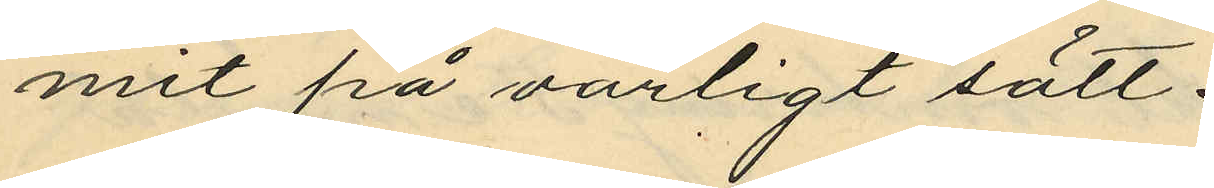mit på oärligt sätt.
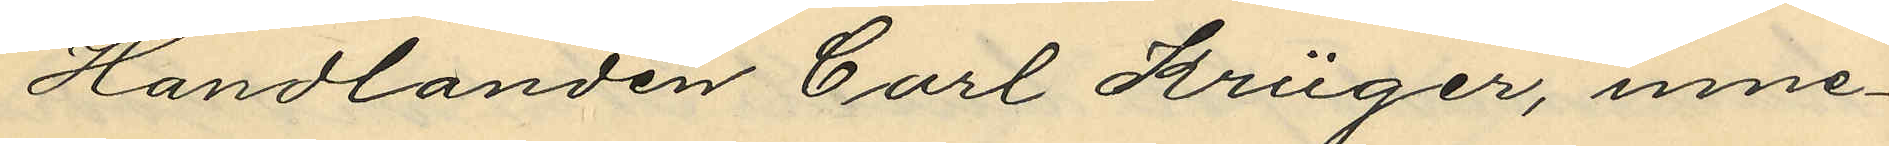Handlanden Carl Krüger, inne¬
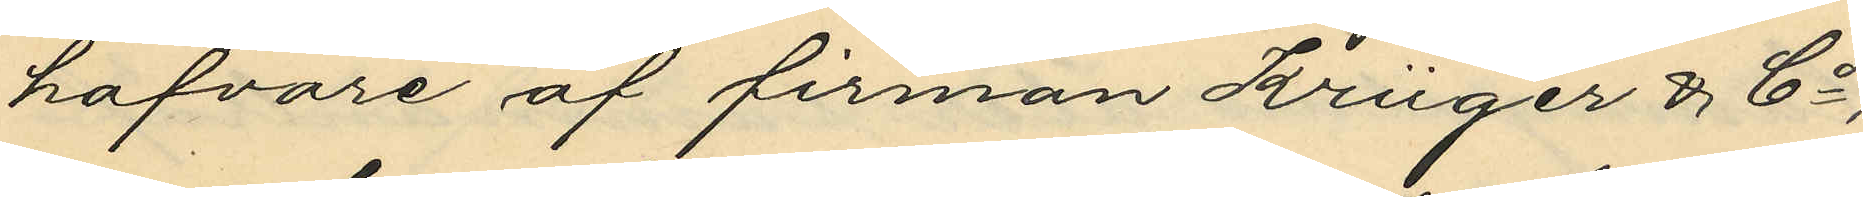hafvare af firman Krüger & Co,
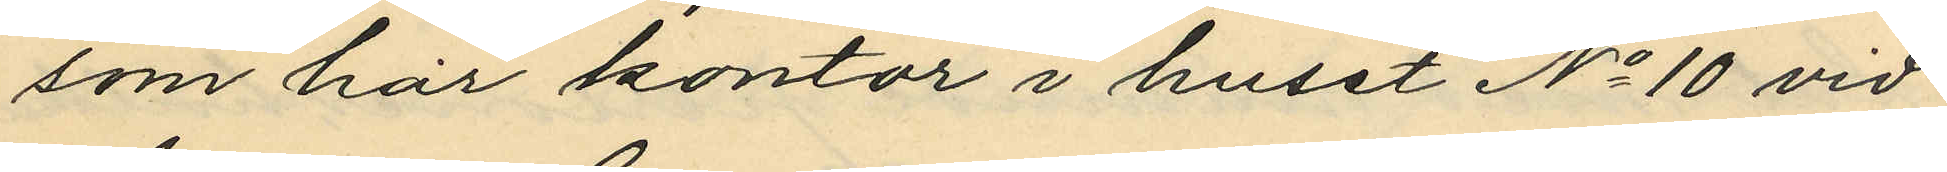som har kontor i huset No 10 vid
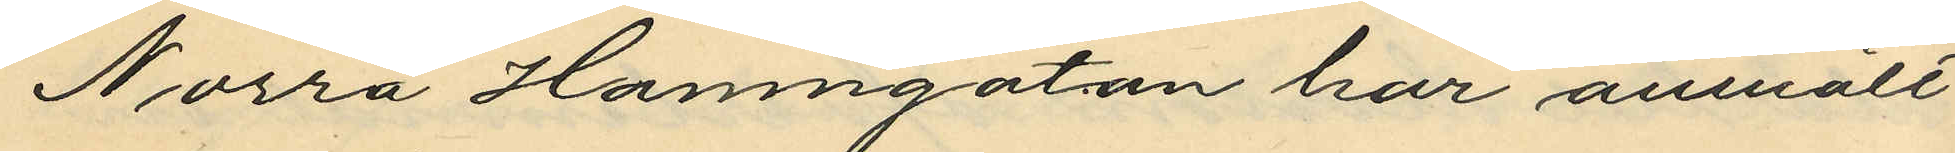Norra Hamngatan har anmält
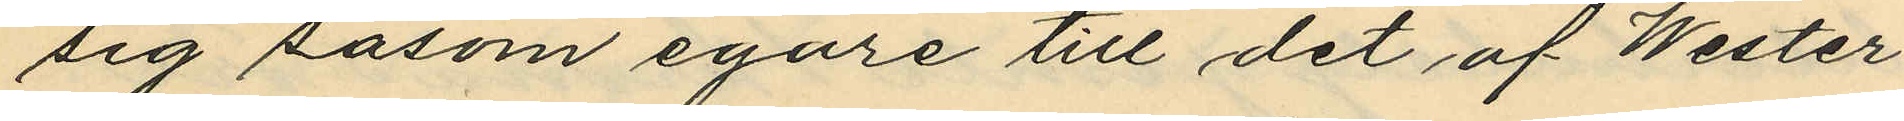sig såsom egare till det af Wester¬
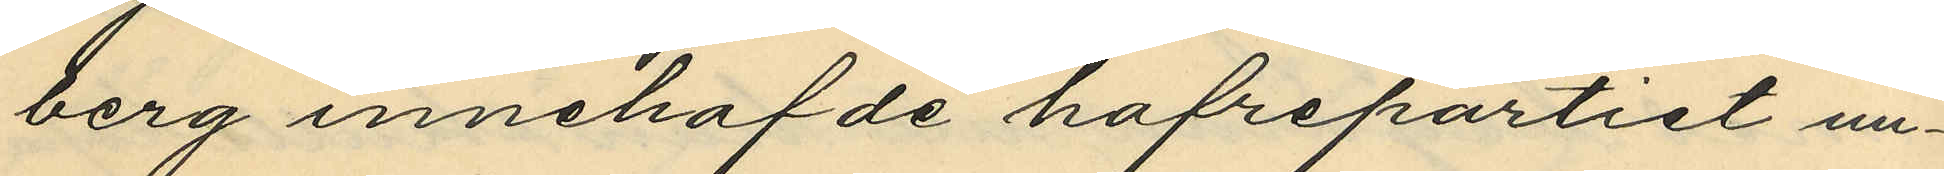berg innehafde hafrepartiet un¬
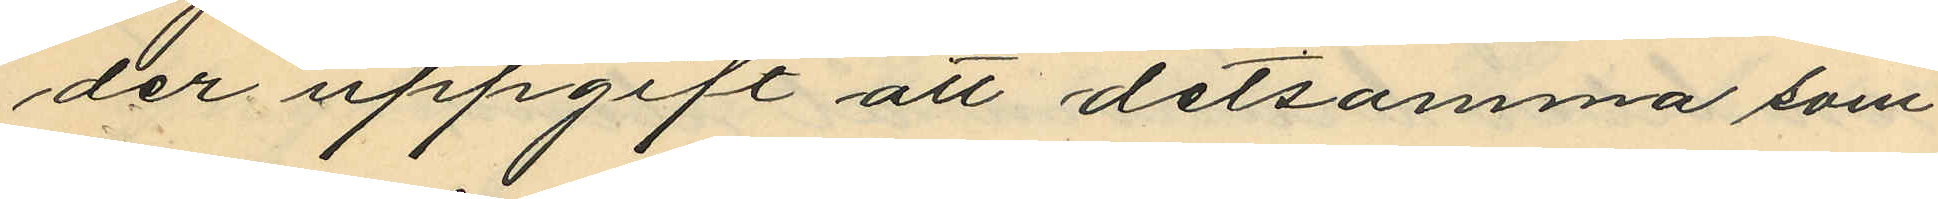der uppgift att detsamma som
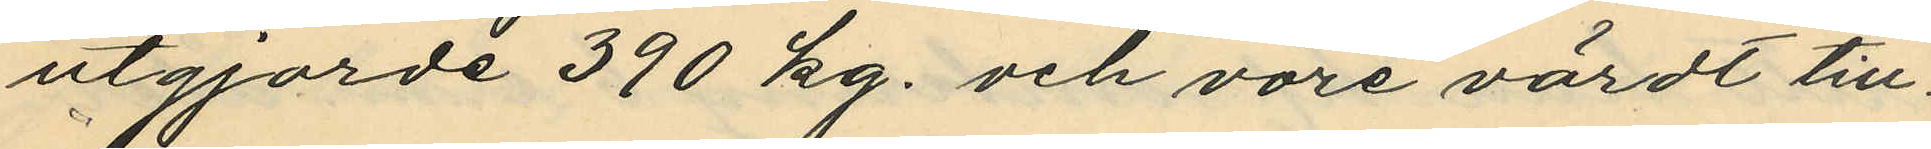utgjorde 390 kg. och vore värdt till¬
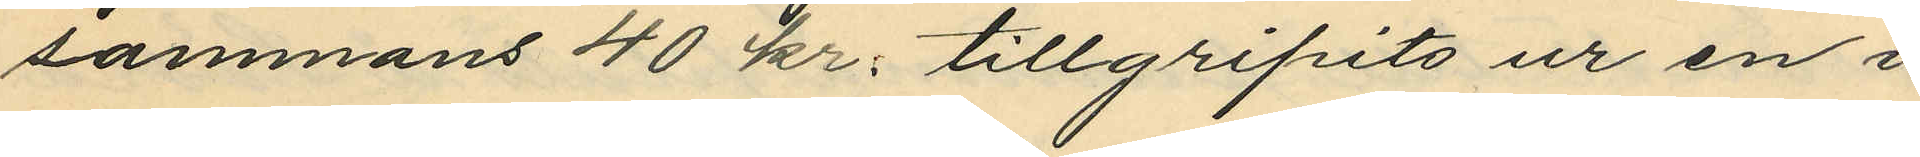sammans 40 kr. tillgripits ur en i
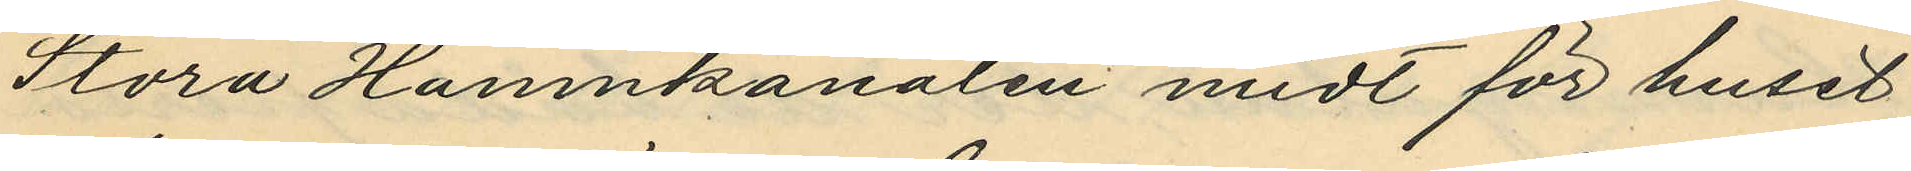Stora Hamnkanalen midt för huset
